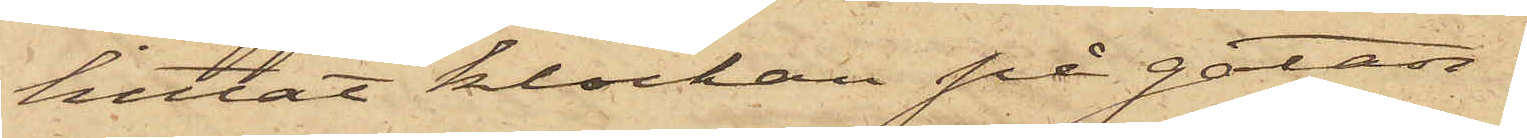hittat klockan på gatan.
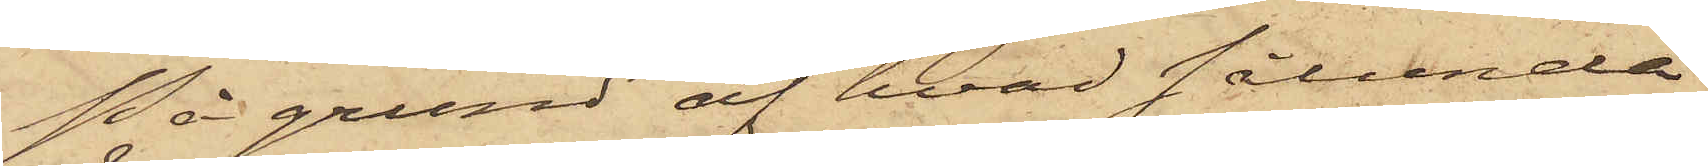På grund af hvad sålunda
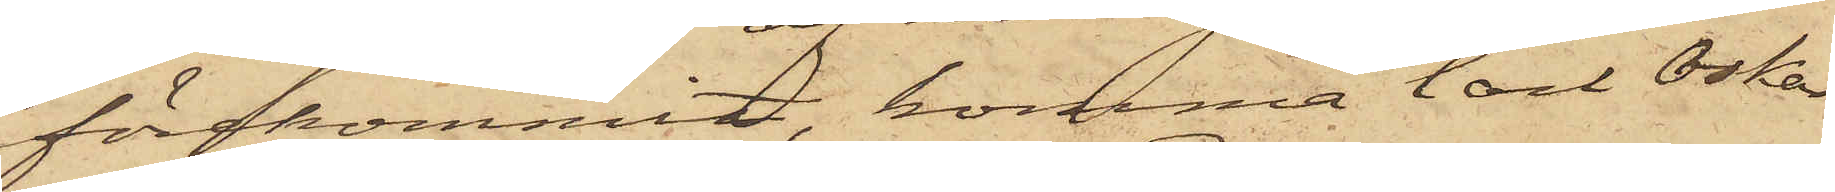förekommit, komma Carl Oskar
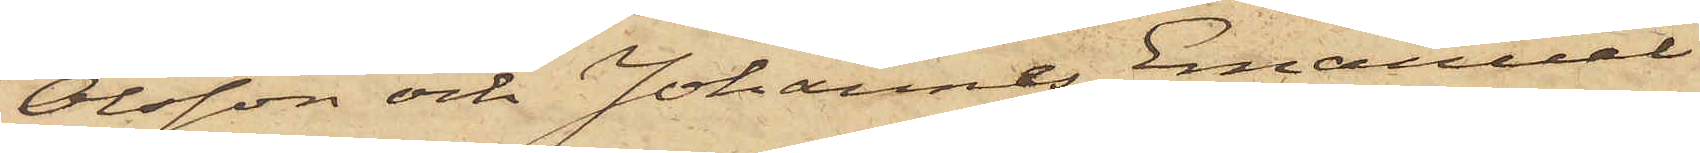Olsson och Johannes Emanuel
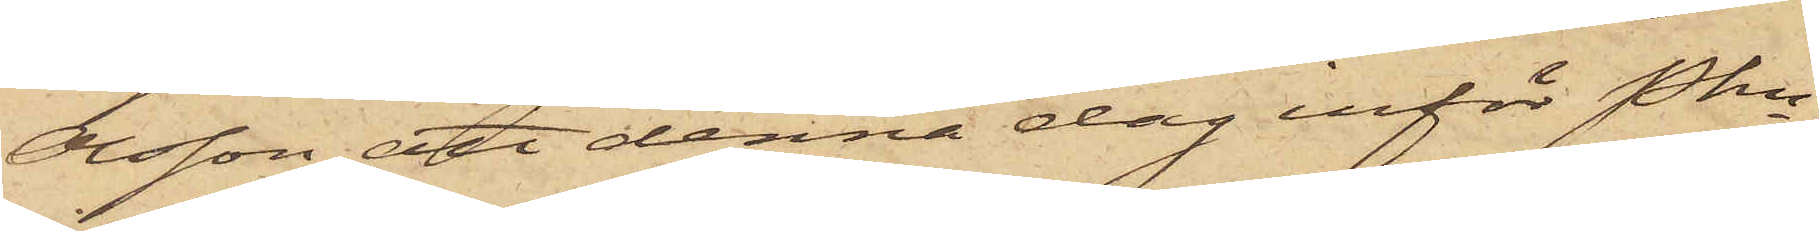Olsson att denna dag inför Pkn
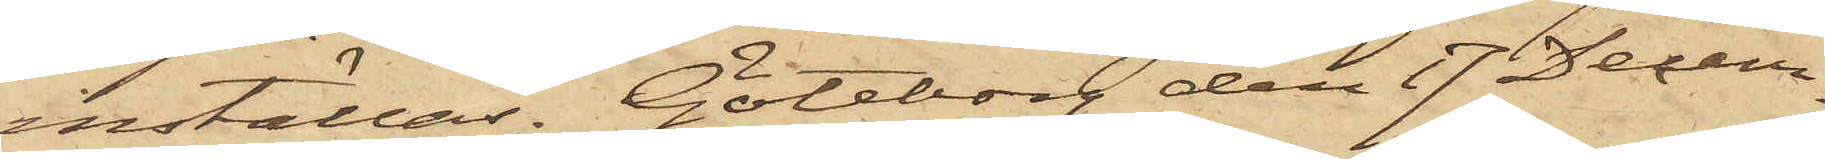inställas. Göteborg den 17 Decem¬
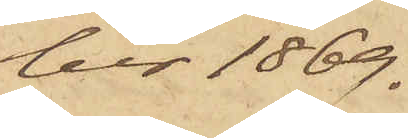ber 1869.
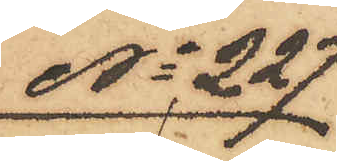No 227
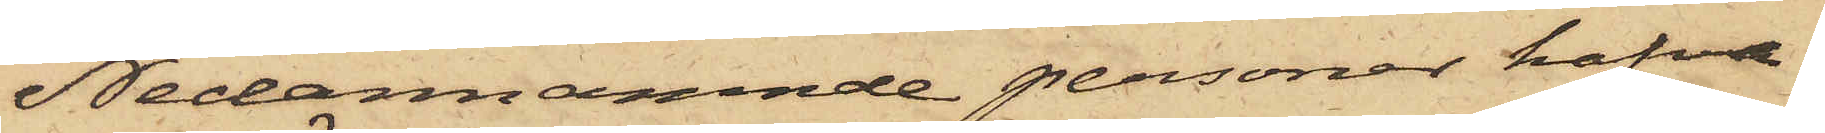Nedannämnde personer hafva
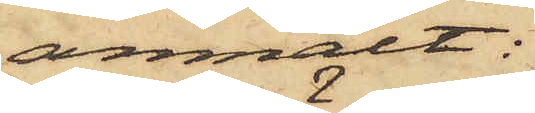anmält:
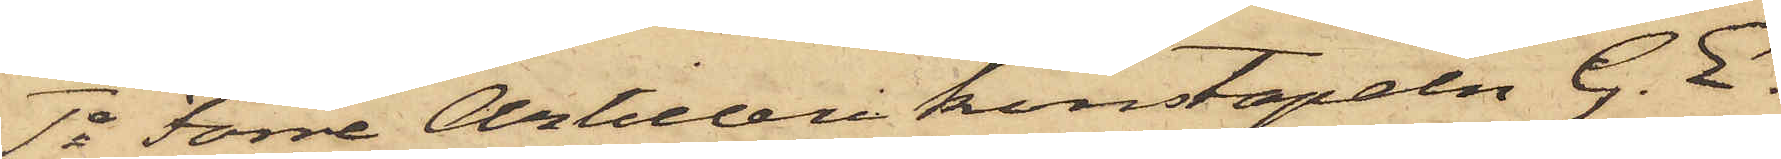1o Förre Artillerikonstapeln G. E.
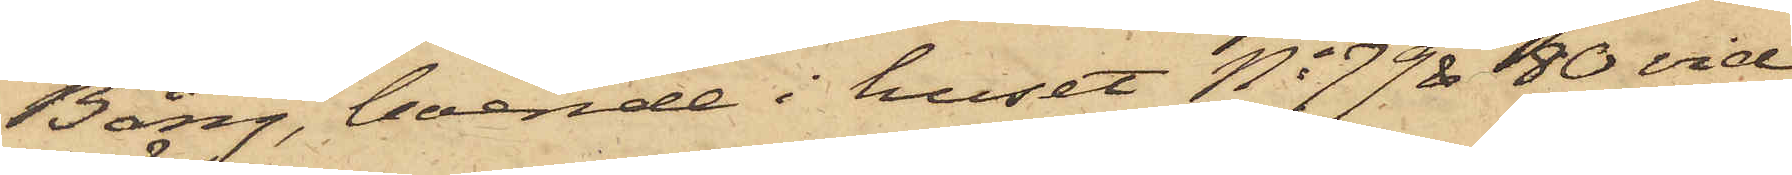Bång, boende i huset No 79 & 80 vid
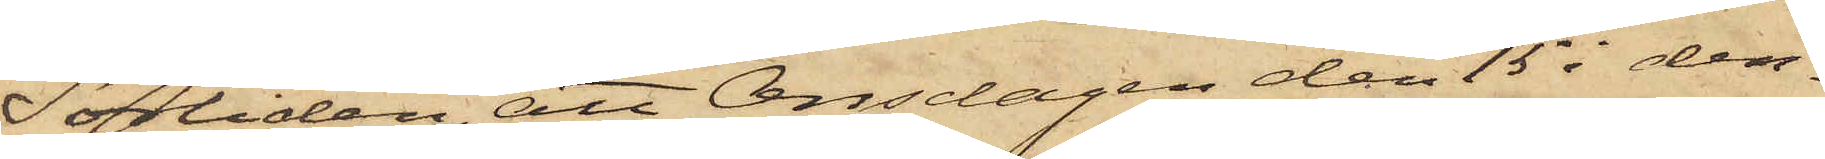Sörliden, att Onsdagen den 15 i den¬
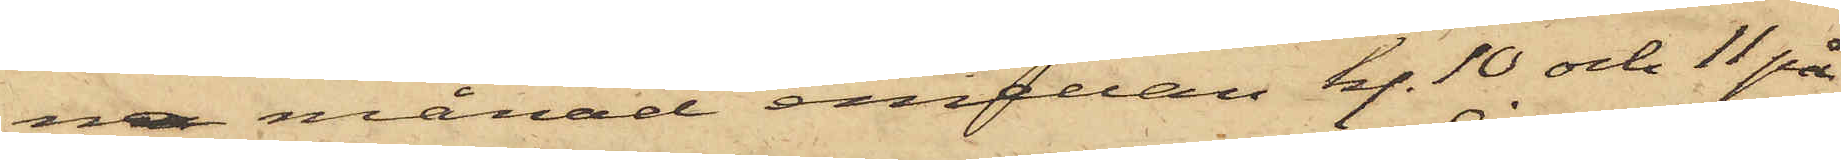na månad emellan kl. 10 och 11 på
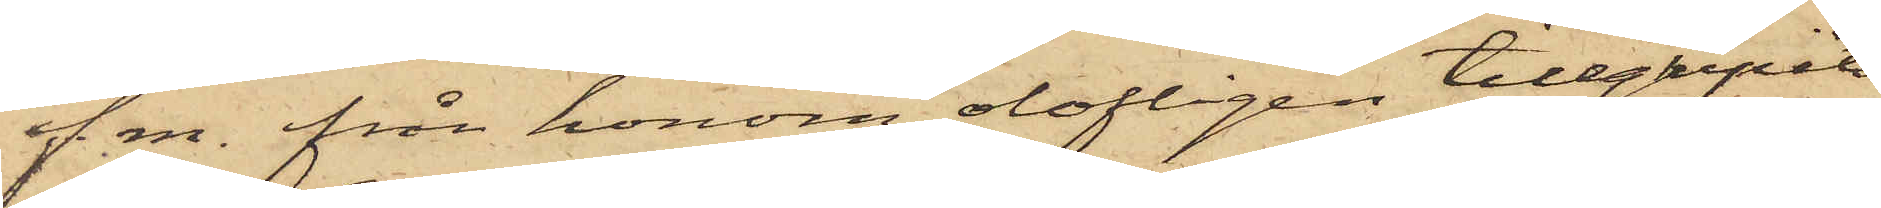f. m. från honom olofligen tillgripits
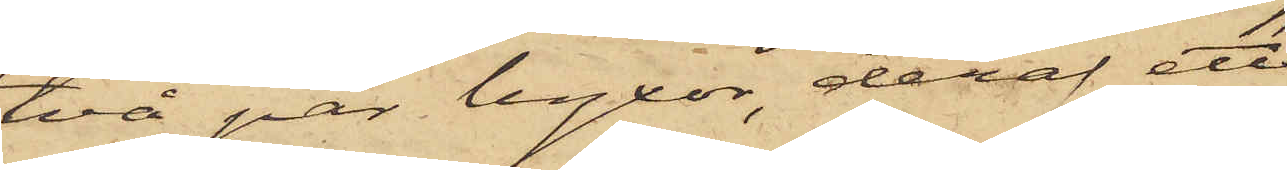två par byxor, deraf ett
